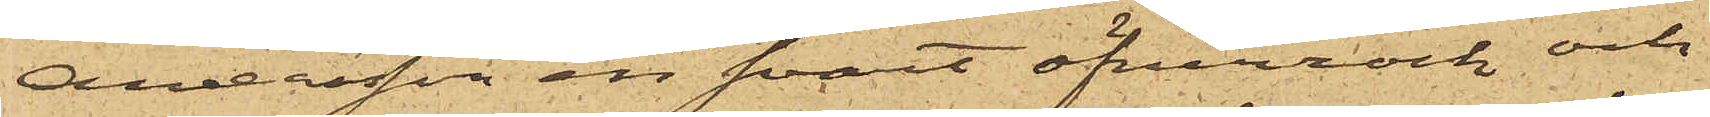Andersson en svart öfverrock och
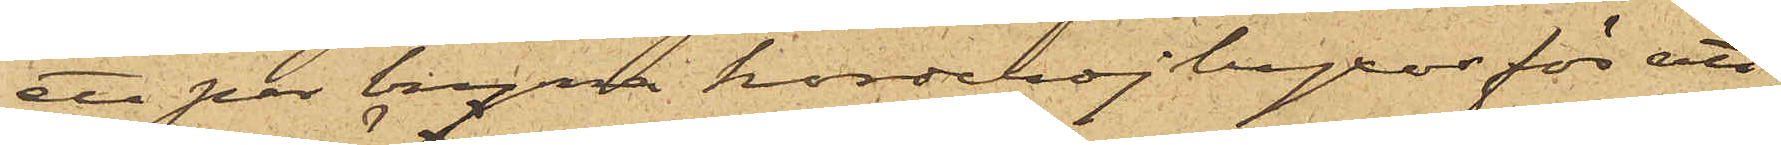ett par bruna korderojbyxor för att
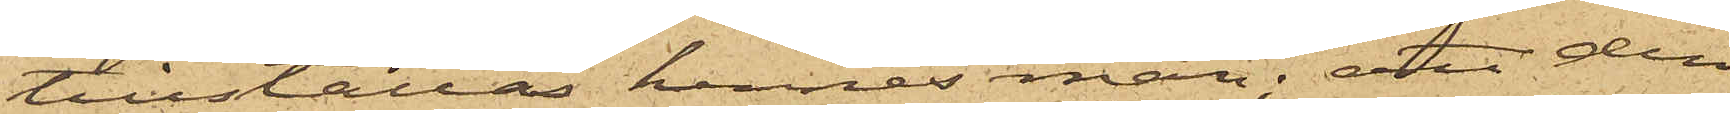tillställas hennes man; att den
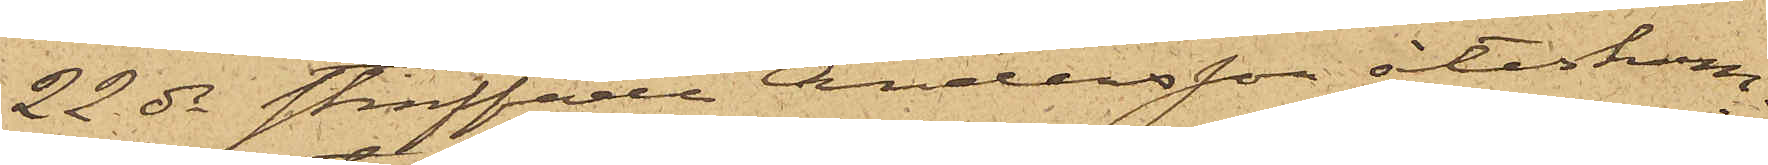22 ds straffade Andersson återkom¬
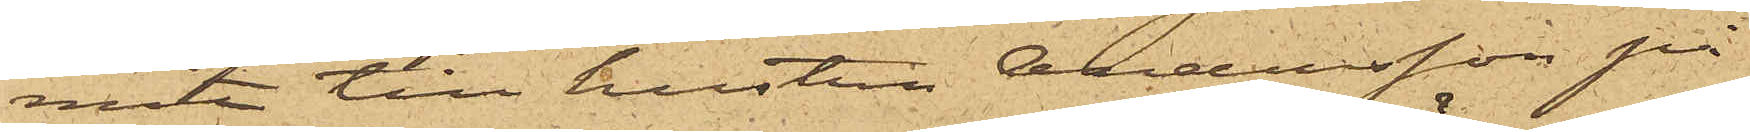mit till hustrun Andersson på
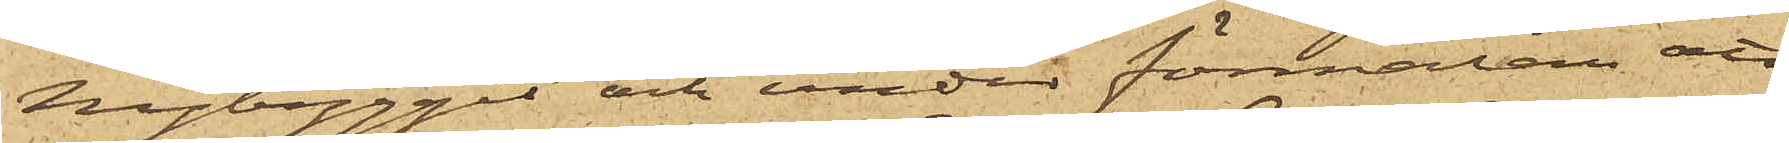Nybygget och under förmälan att
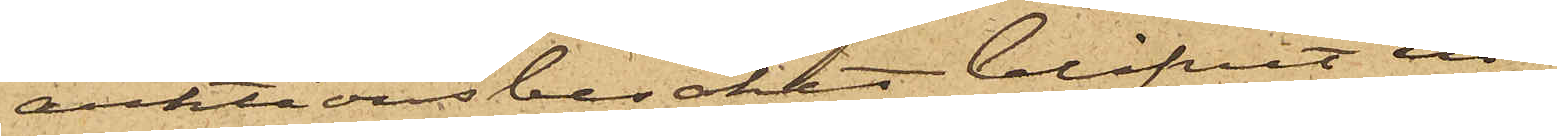auktionsbesöket blifvit in¬
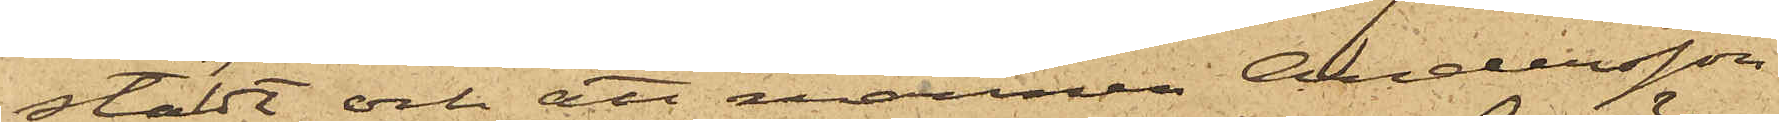stäldt och att mannen Andersson
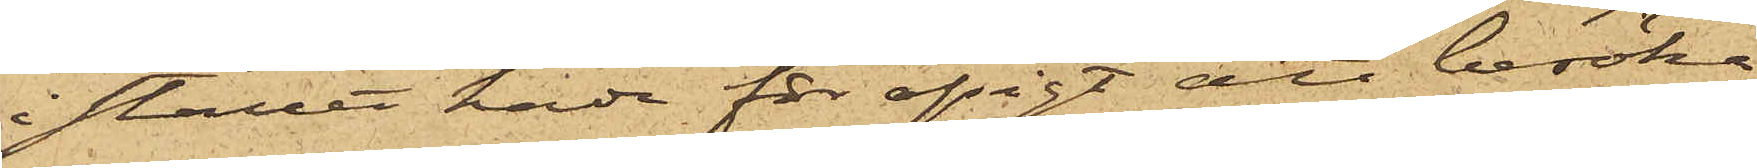i stället hade för afsigt att besöka
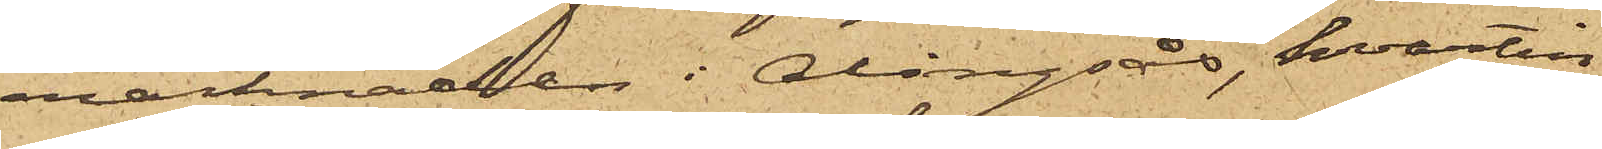marknaden i Alingsås, hvartill
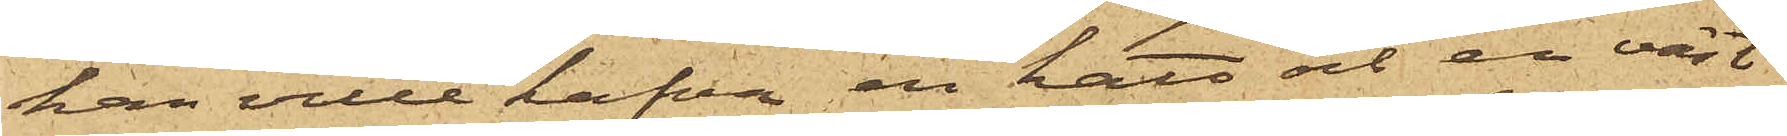han ville hafva en hatt och en väst
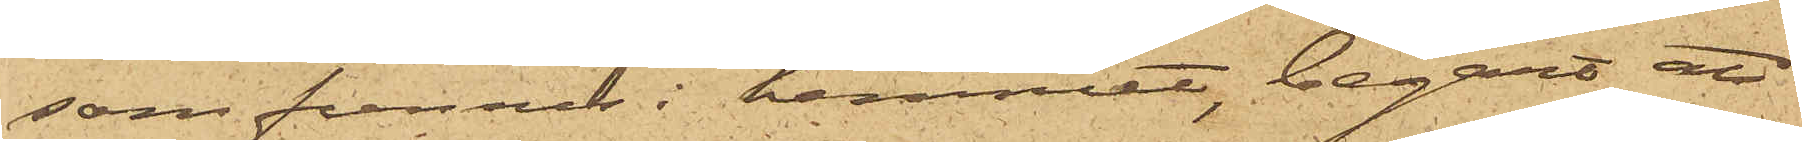som funnes i hemmet, begärt att
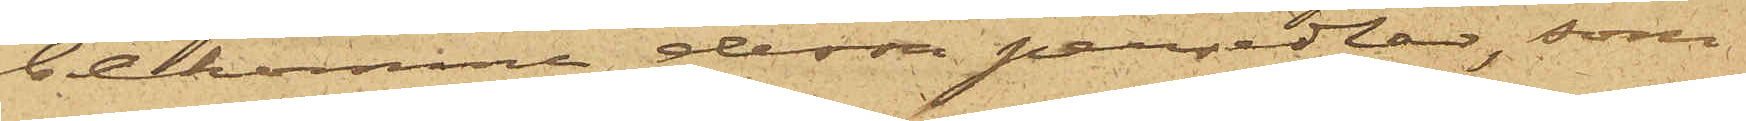bekomme dessa persedlar, som
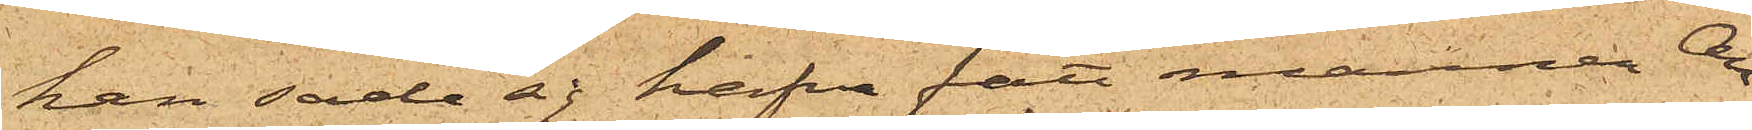han sade sig hafva fått mannen An¬
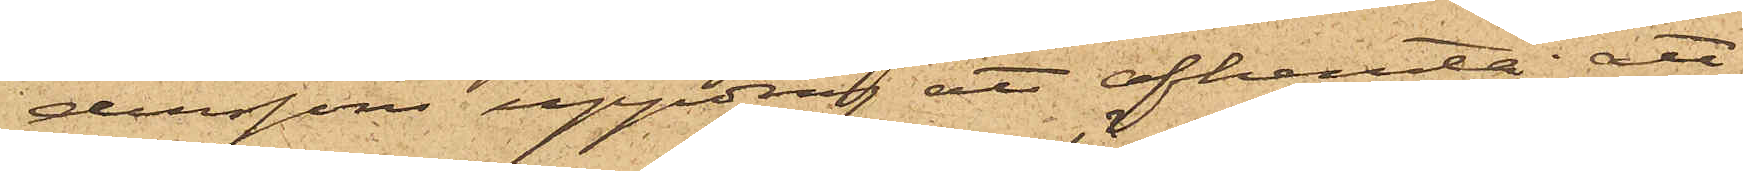derssons uppdrag att afhemta; att
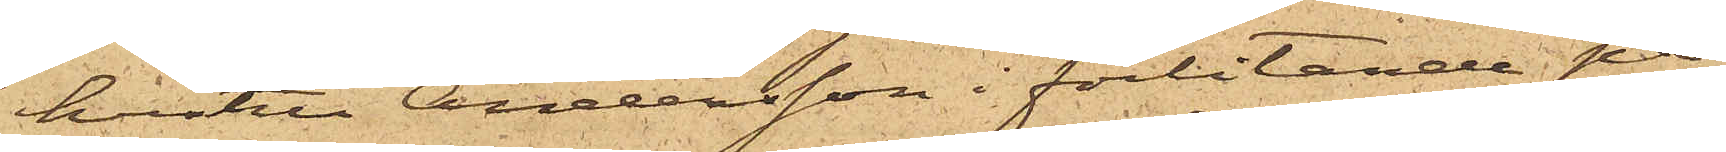hustru Andersson i förlitande på
